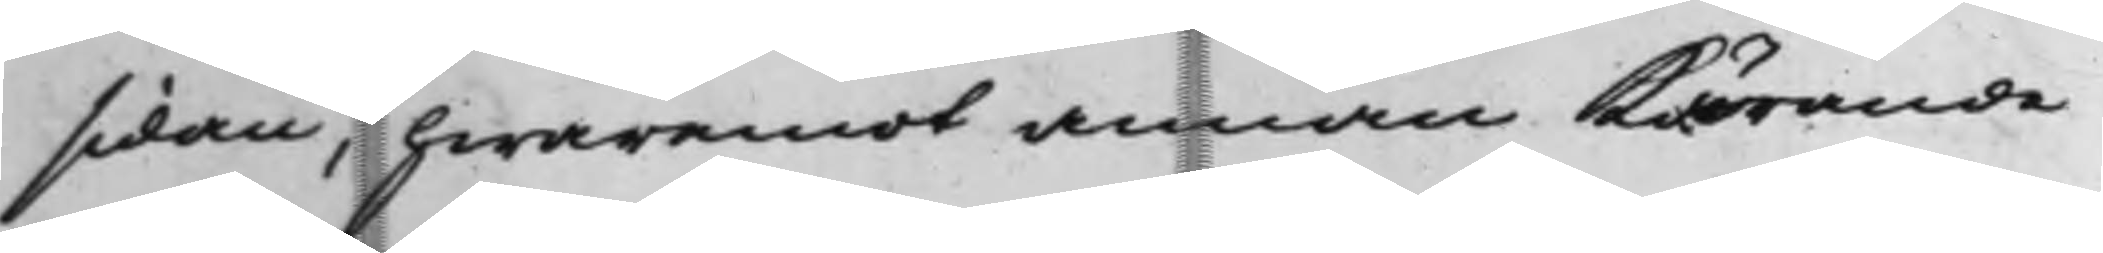sidan, hwaremot annan Kärande
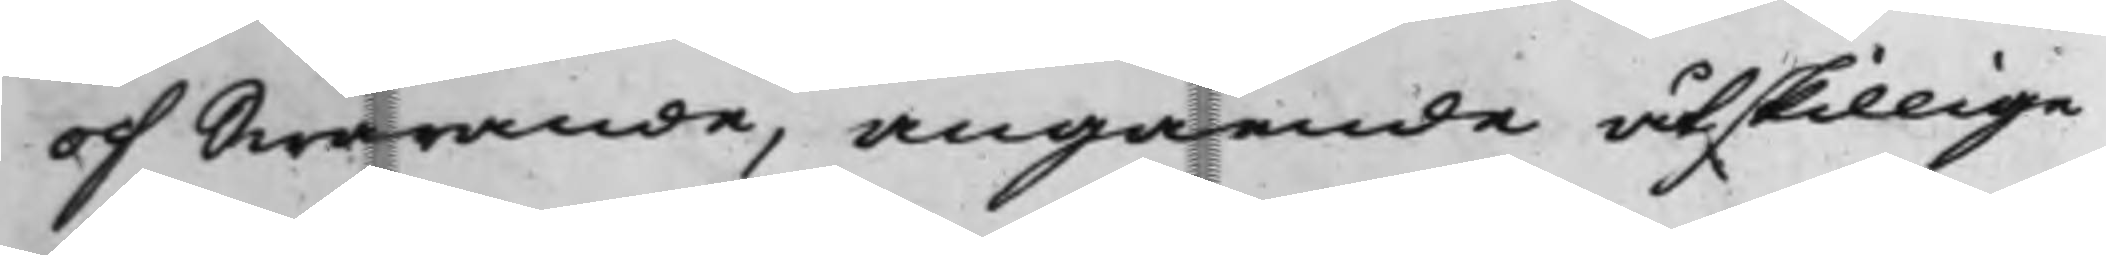och Swarande, angående åtskillige
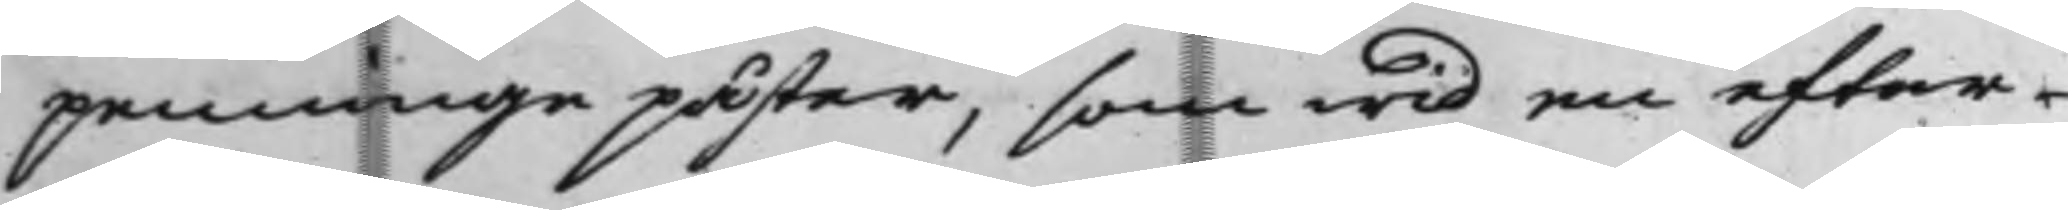penningepåster, som wid en efter
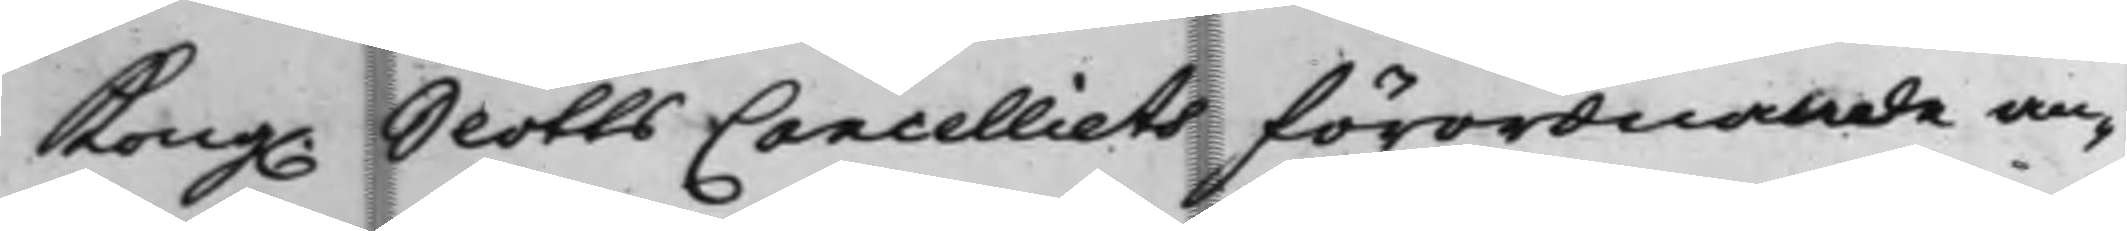Kong. SlottsCancelliets förordnande an¬
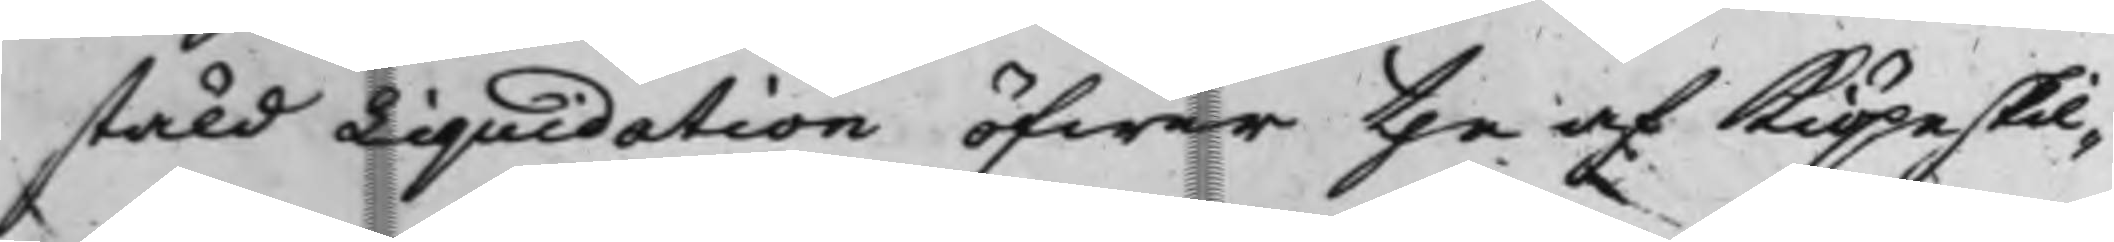stäld Liquidation öfwer the af Kiöpeskil¬
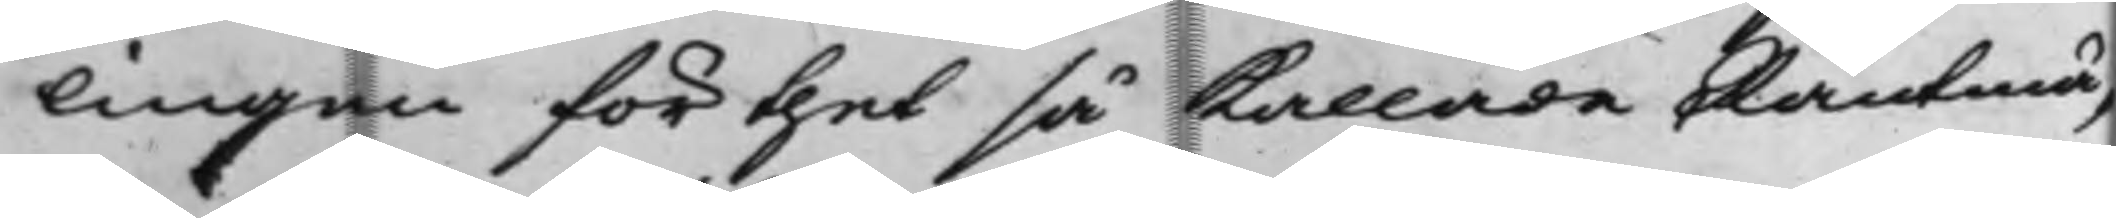lingen för thet så Kallade Räntmä¬
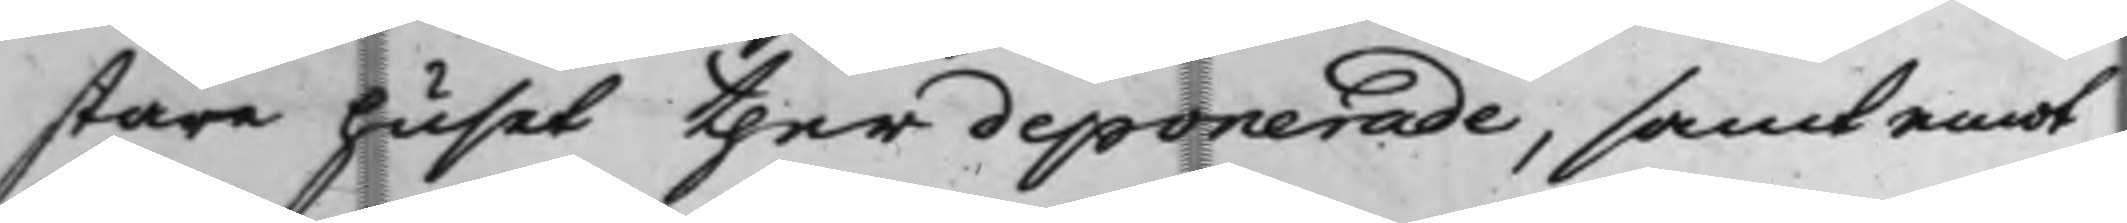stare huset ther deponerade. samt emot
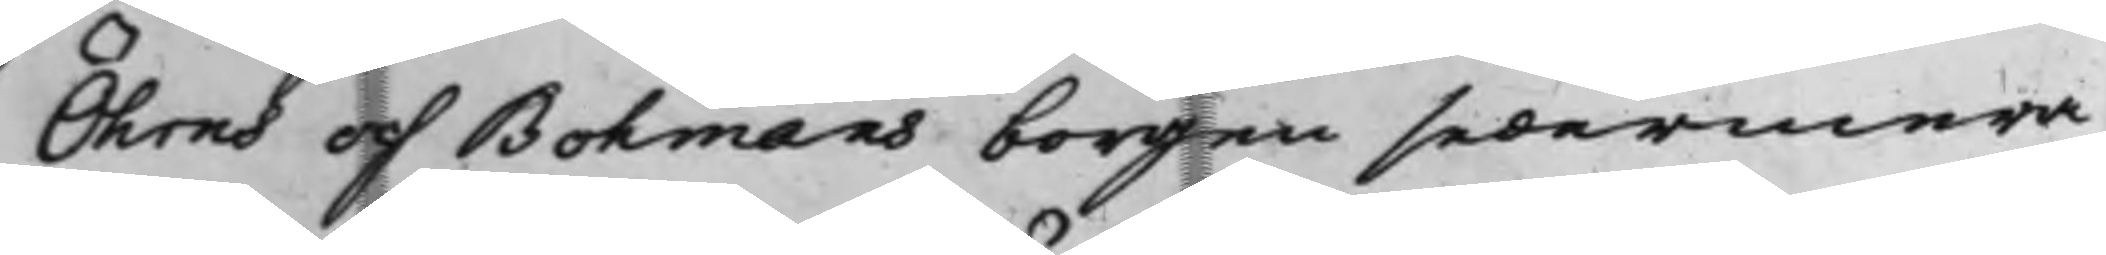Öhrns och Bohmans borgen sedermera
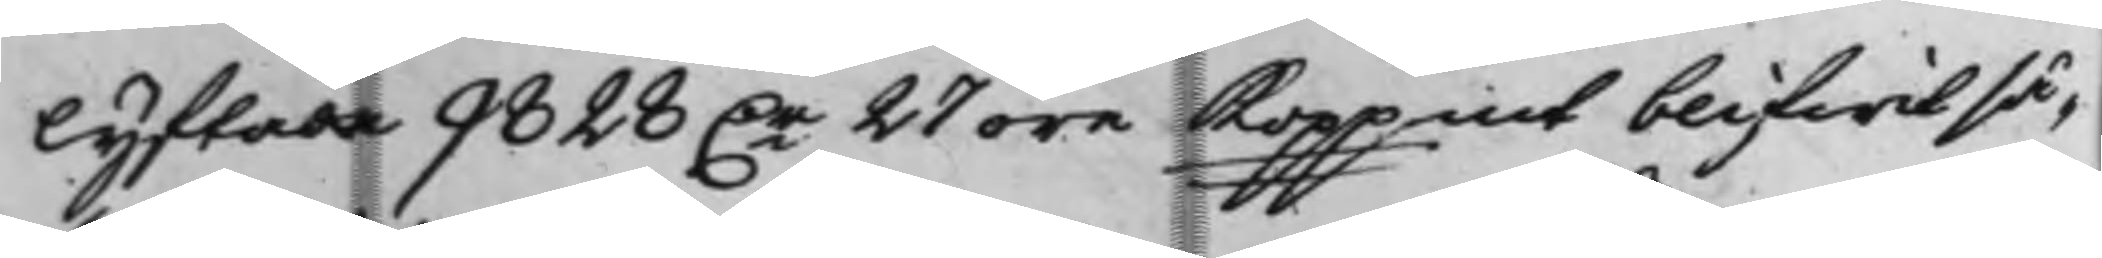lyftade 9828 D.r 27 öre Koppmt blifwit så¬
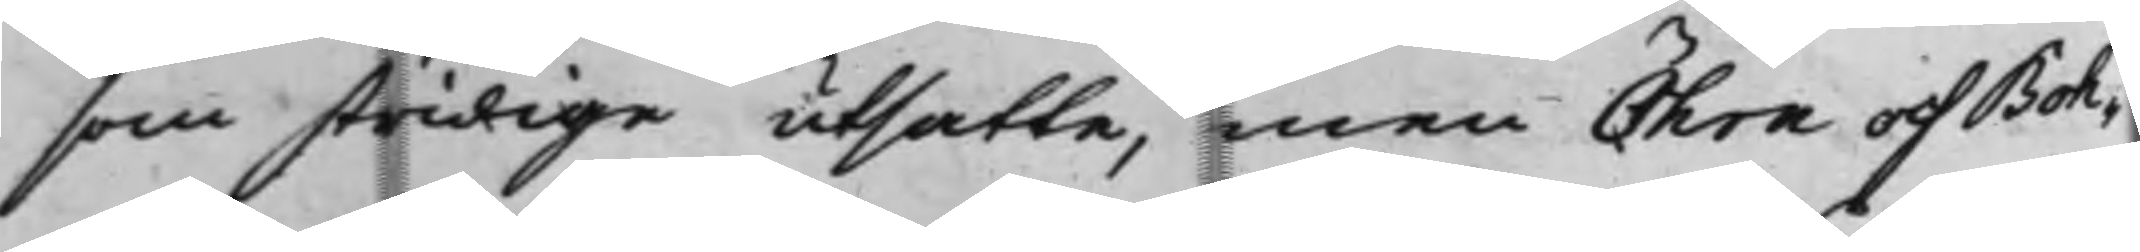som stridige utsatte, men Öhrn och Boh¬
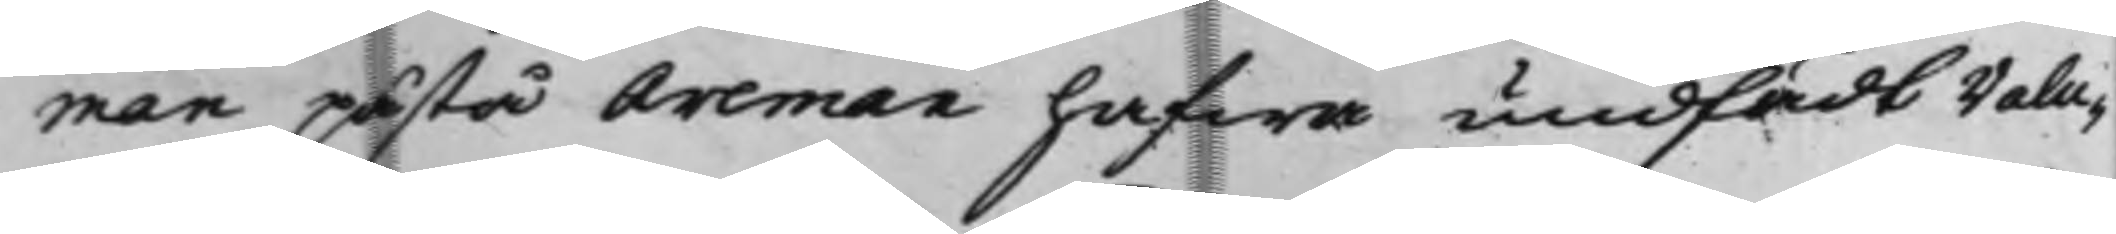man påstå Areman hafwa undfådt Valu¬
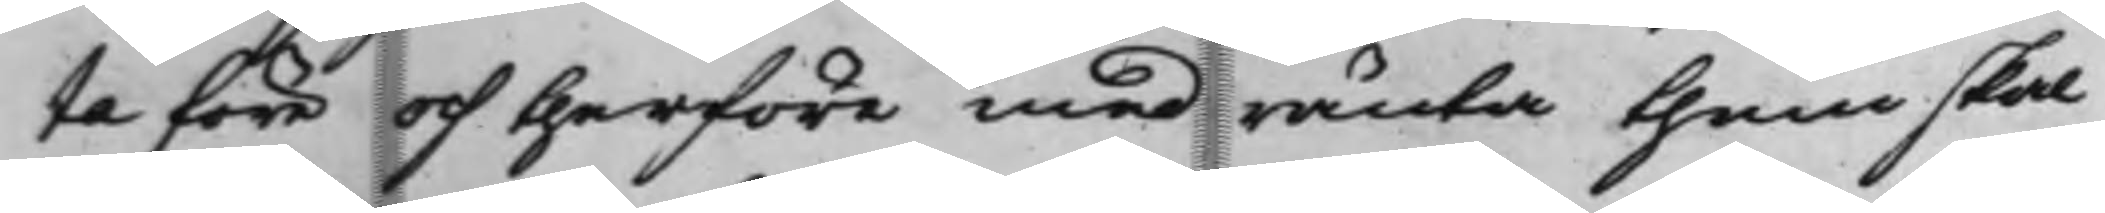ta före och therföre med ränta them skal
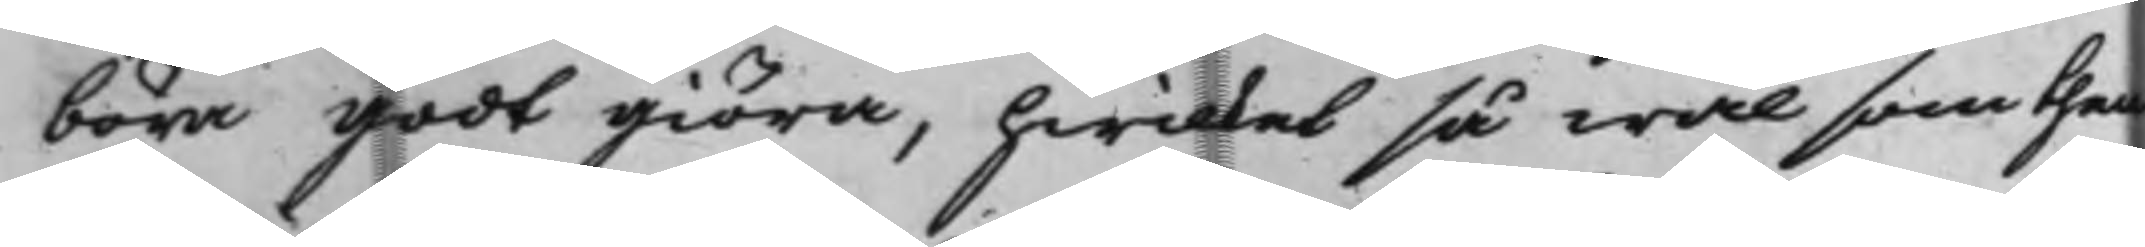böra godt giöra, hwilket så wäl som then
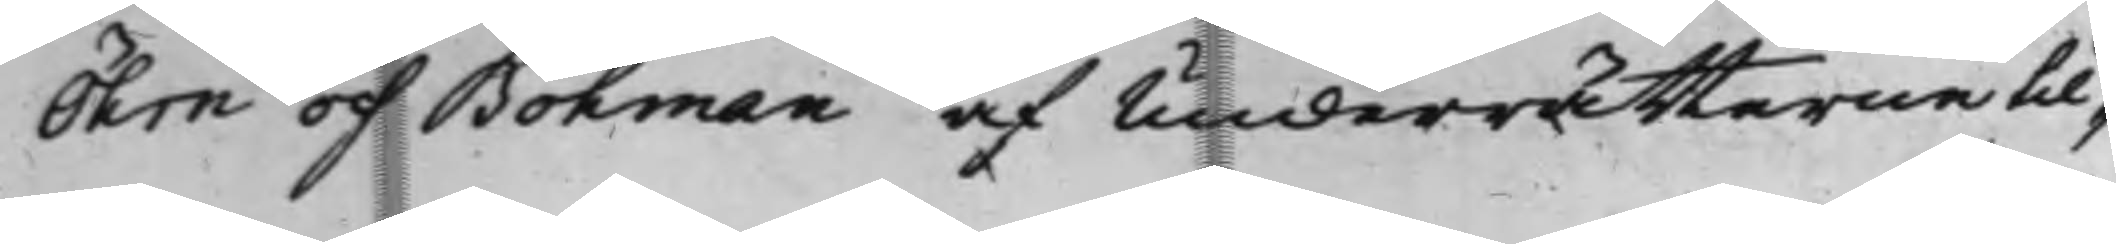Öhrn och Bohman af Underrätterne til¬
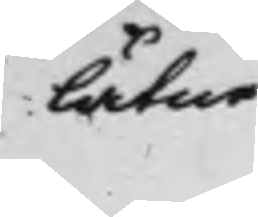låtne
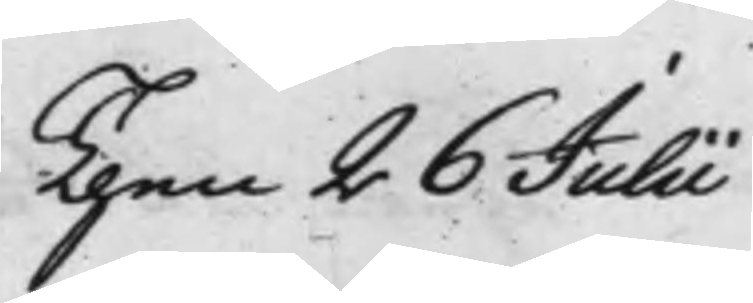Then 26 Julii
